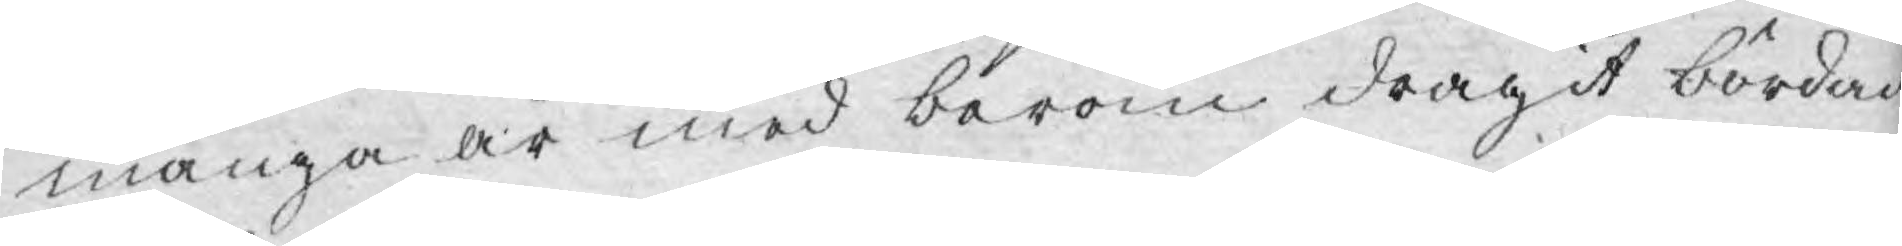många år med beröm dragit bördan
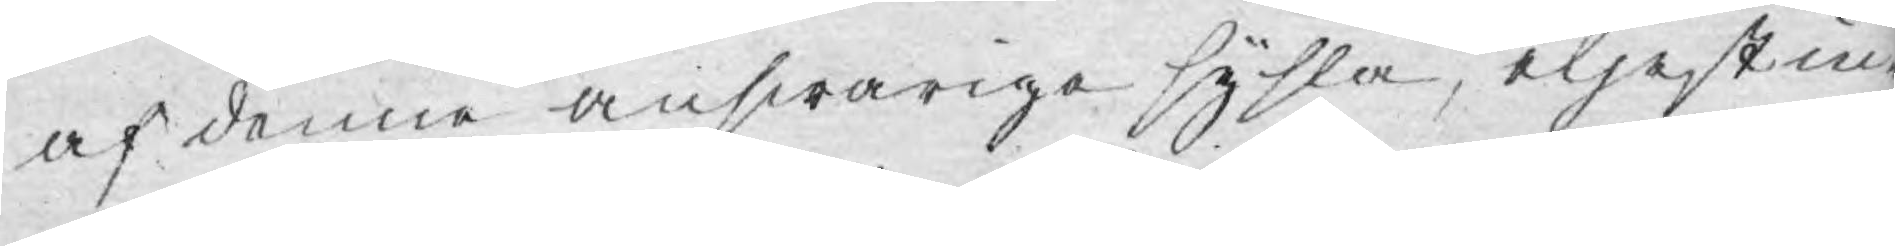af denne answariga sysla, eljest in¬
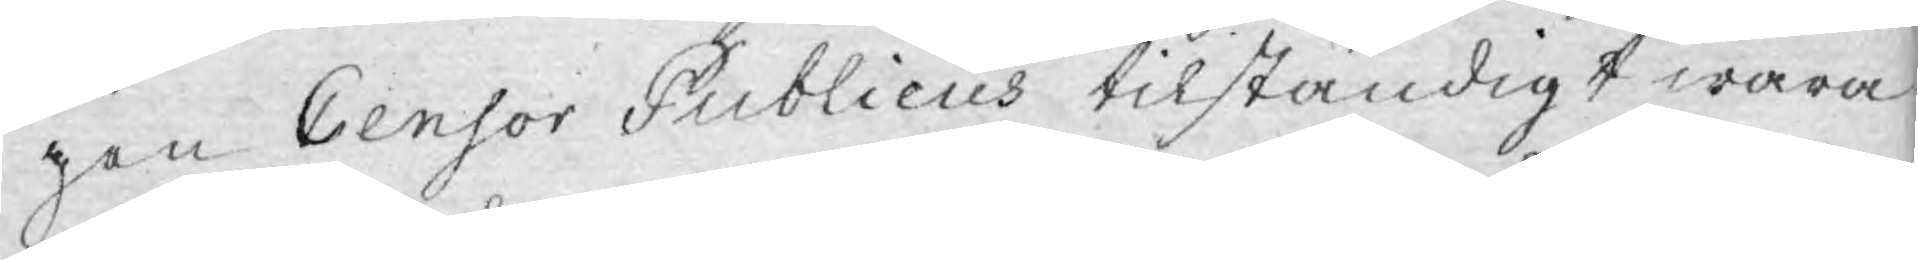gen Censor Publicus tilständigt wara
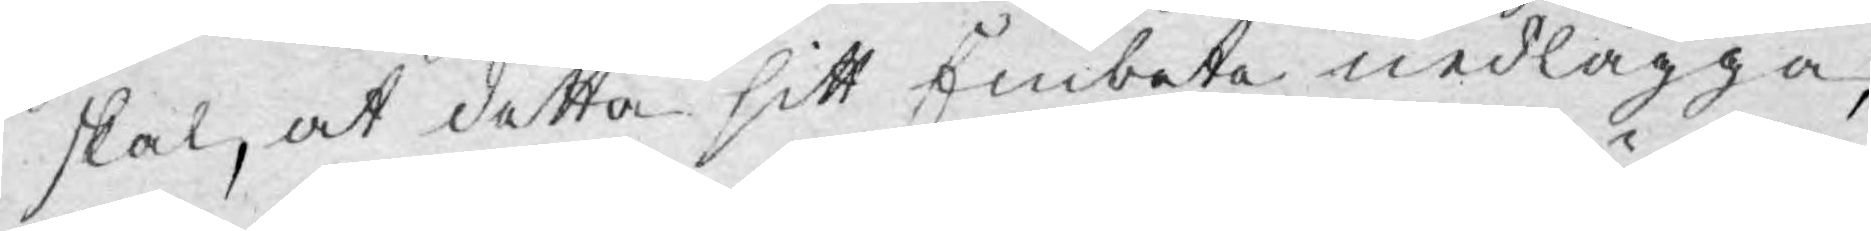skal, at detta sitt Embete nedlägga,
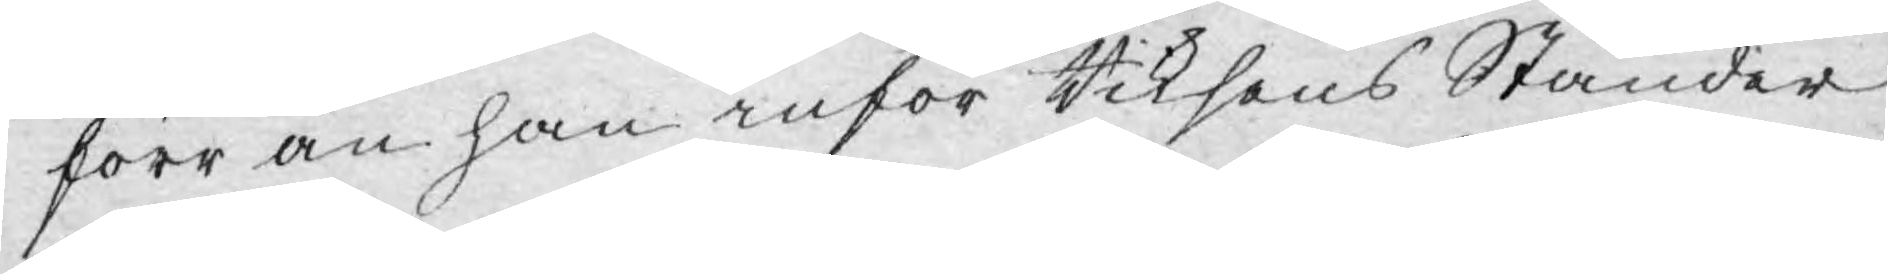förr än han inför Riksens Ständer
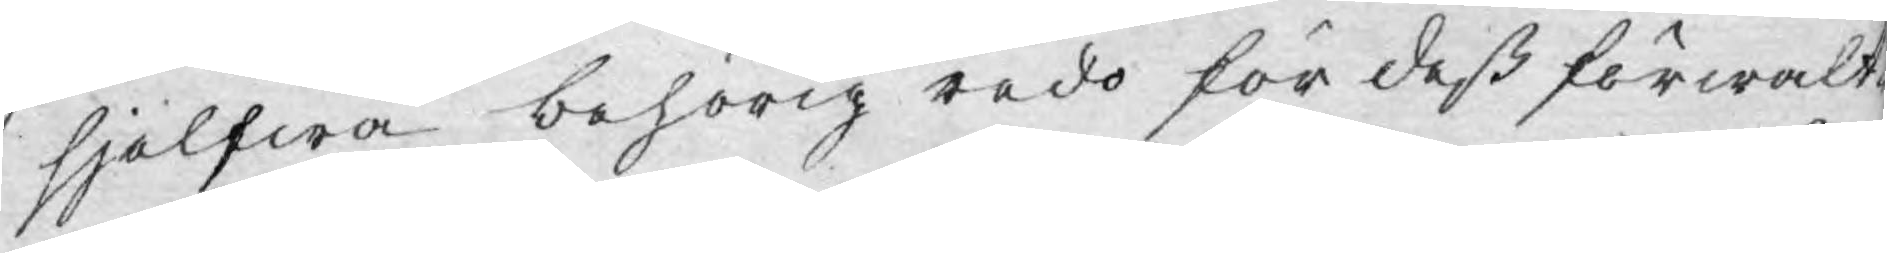sjelfwa behörig redo för dess förwalt¬
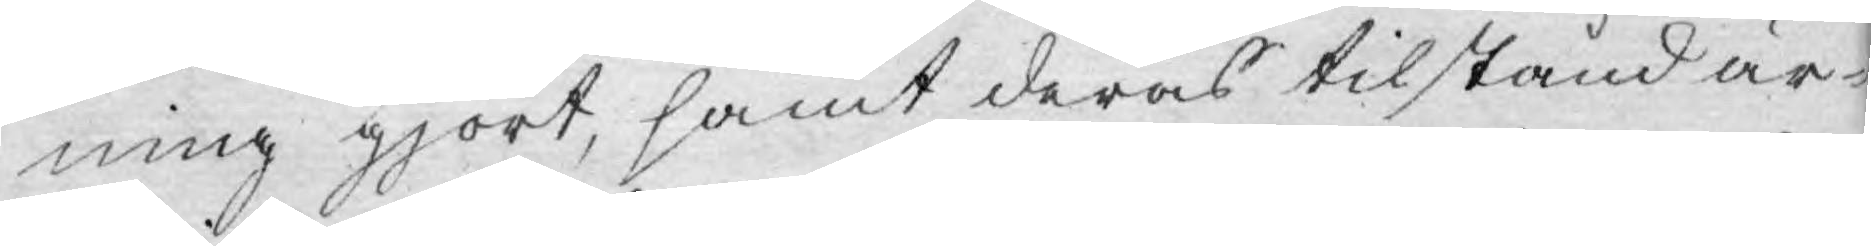ning gjort, samt deras tilstånd är¬
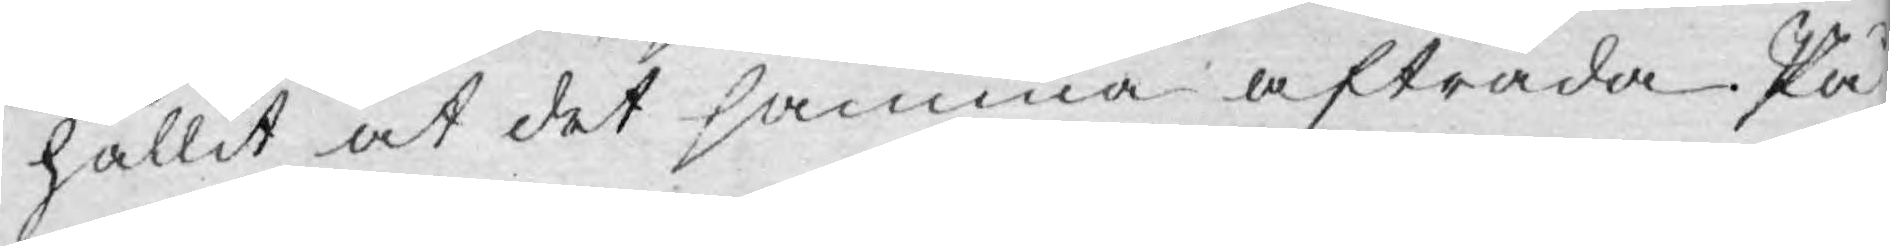hållit at det samma afträda. På
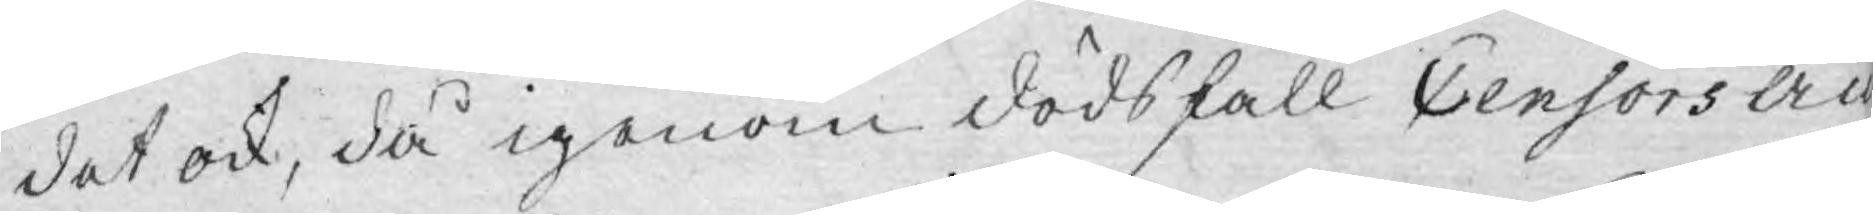det ock, då igenom dödsfall Censors äm¬
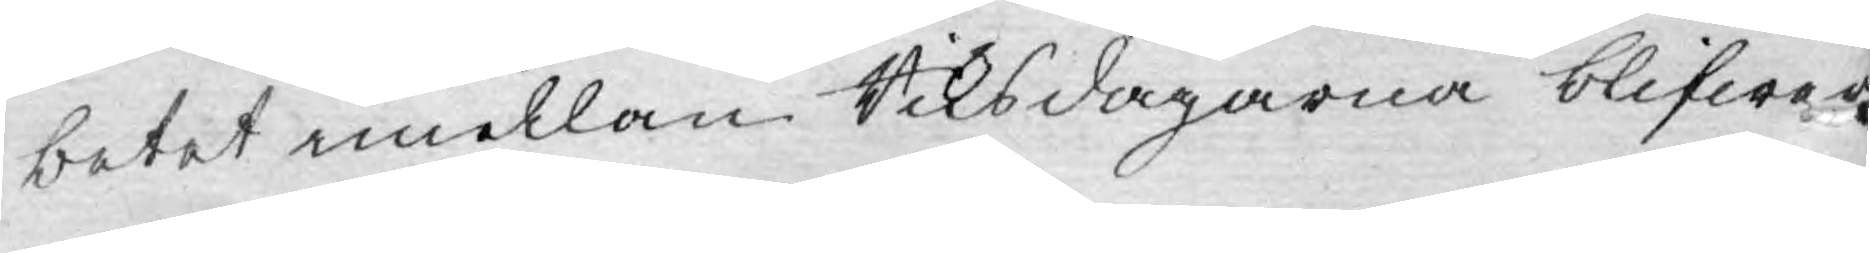betet emellan Riksdagarna blifwer
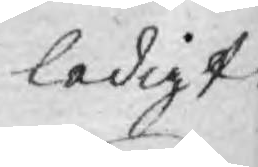ledigt
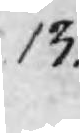13.
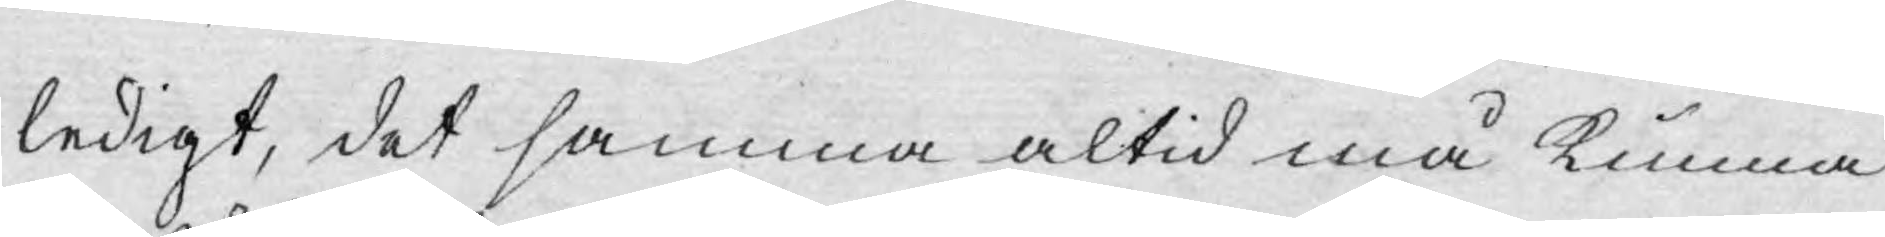ledigt, det samma altid må kunna
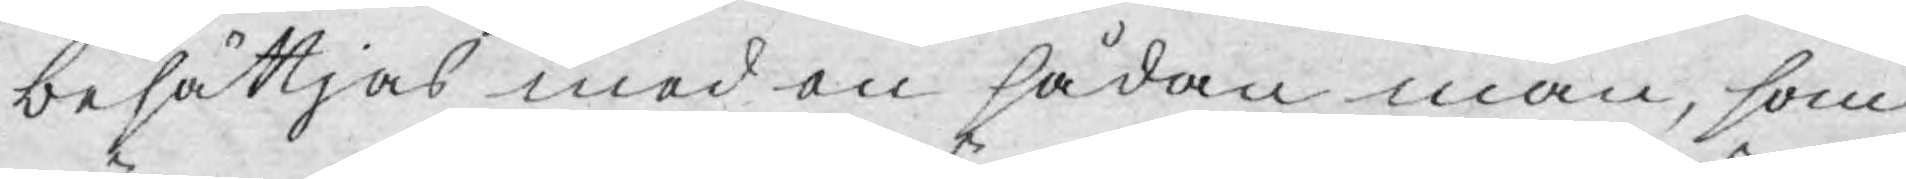besättjas med en sådan man, som
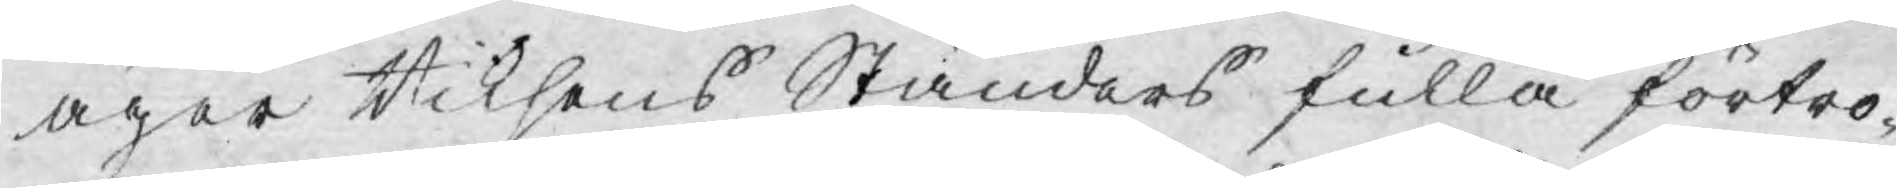äger Riksens Ständers fulla förtro¬
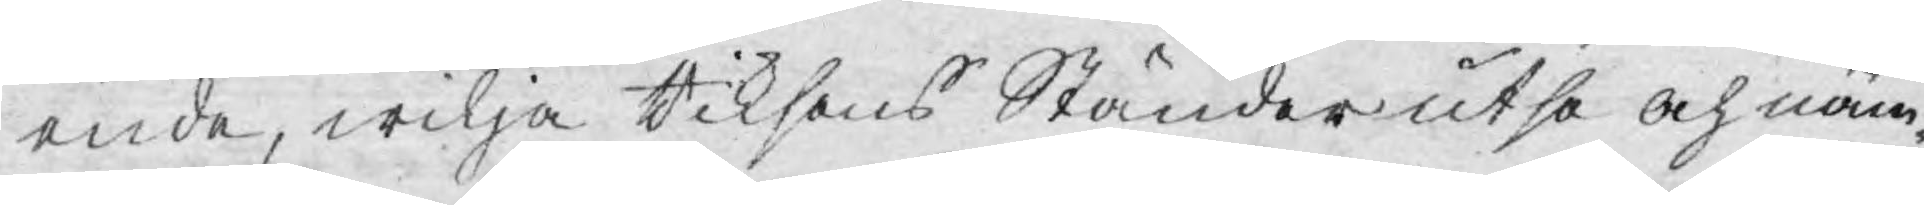ende, wilja Riksens Ständer utse och näm¬
